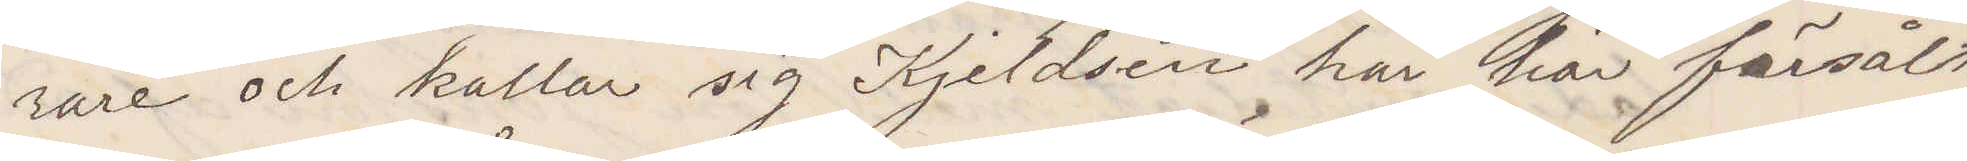rare och kallar sig Kjeldsen har här försålt
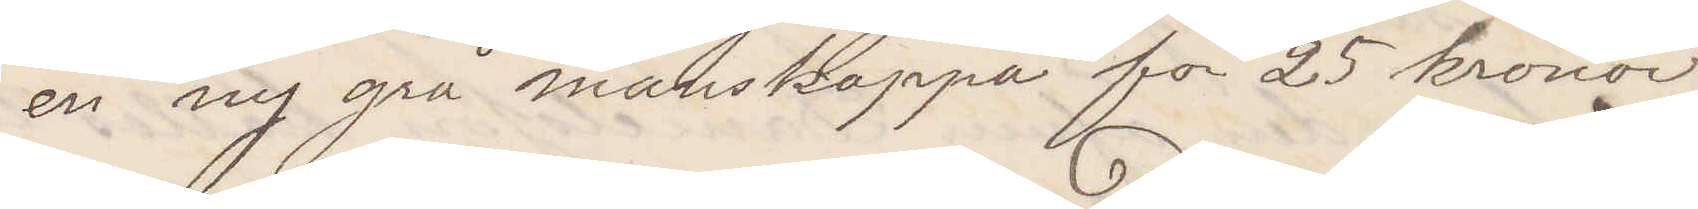en ny grå manskappa för 25 kronor.
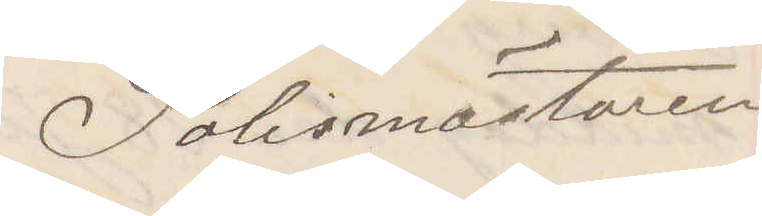Polismästaren
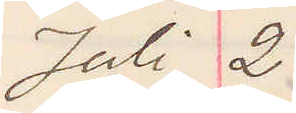Juli 2
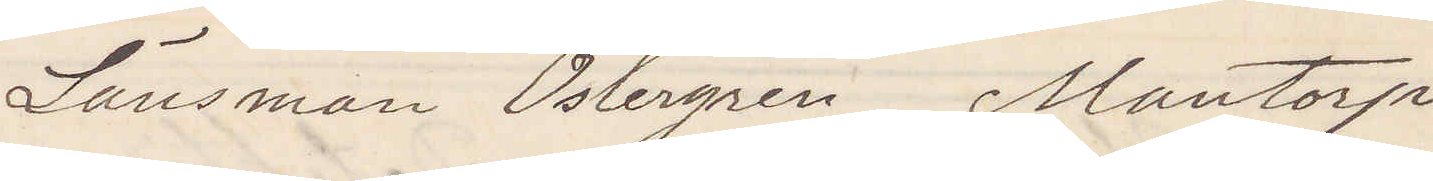Länsman Östergren Mantorp
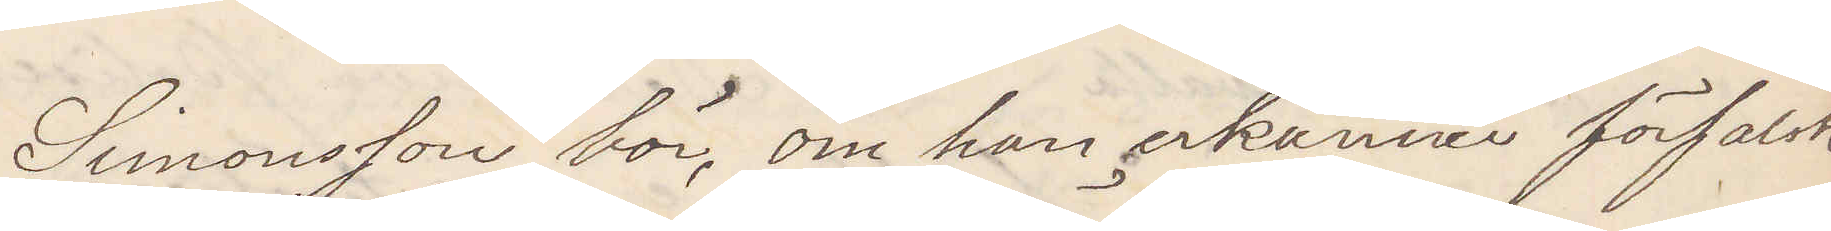Simonsson bör, om han erkänner förfalsk¬
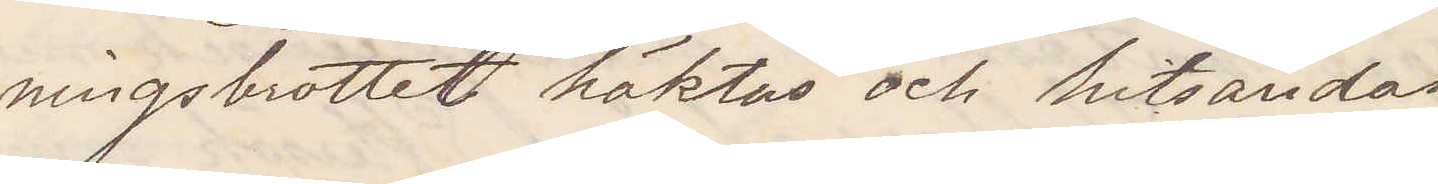ningsbrottet häktas och hitsändas
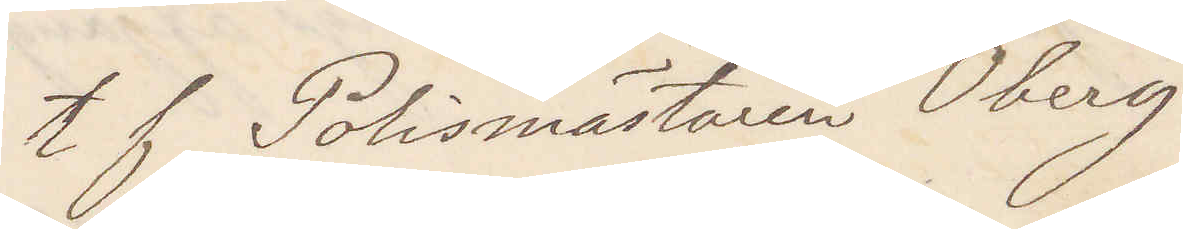t f Polismästaren Öberg
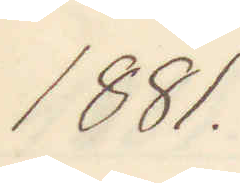1881.
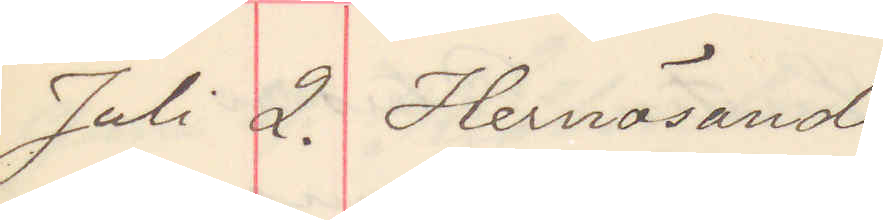Juli 2 .Hernösand
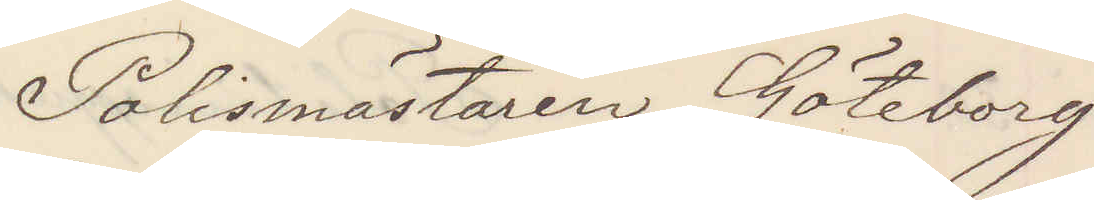Polismästaren Göteborg
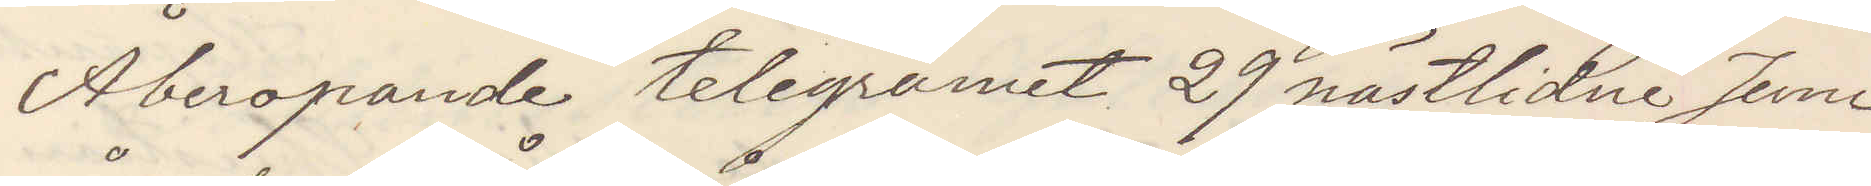Åberopande telegramet 29 nästlidne Juni
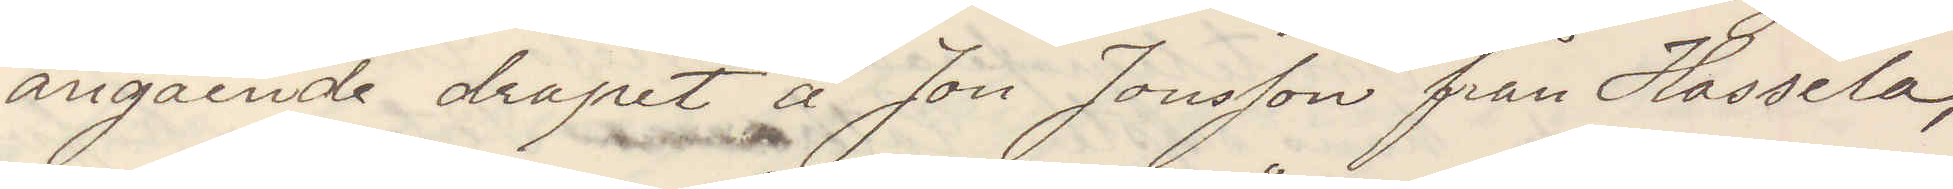angående dråpet å Jon Jonsson från Hassela,
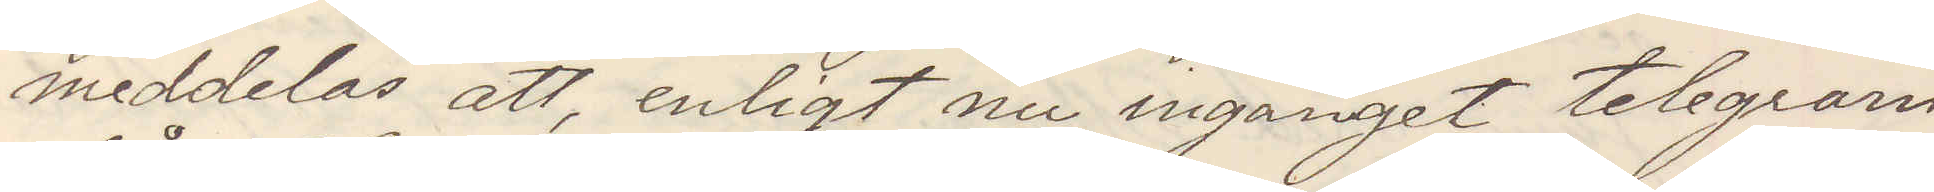meddelas att, enligt nu ingånget telegram
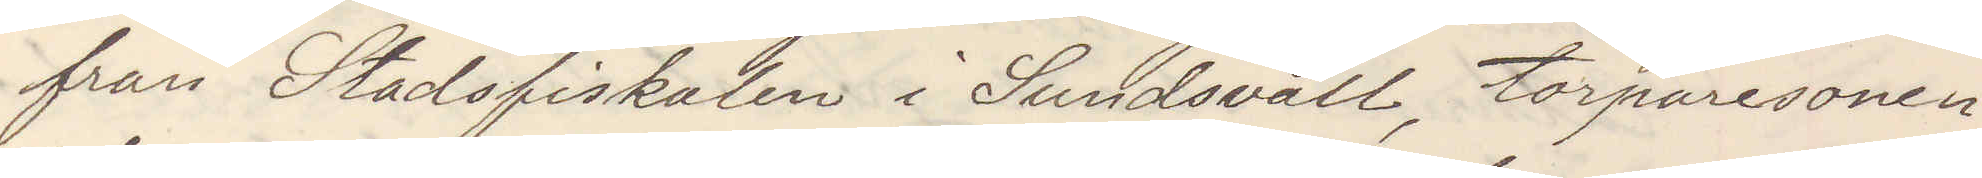från Stadsfiskalen i Sundsvall, torparesonen
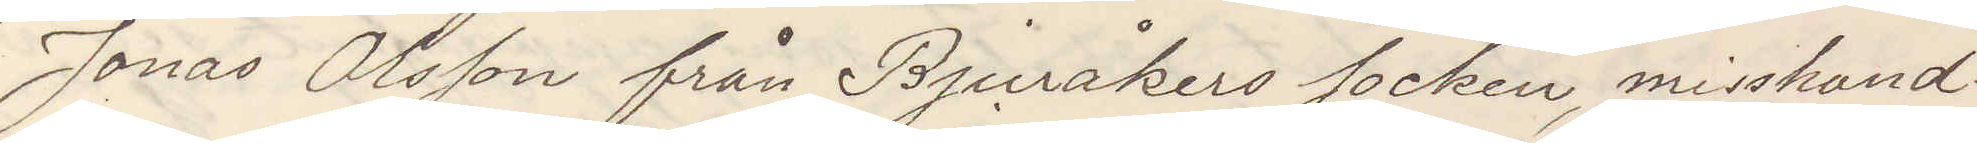Jonas Olsson från Bjuråkers socken, misshand¬
